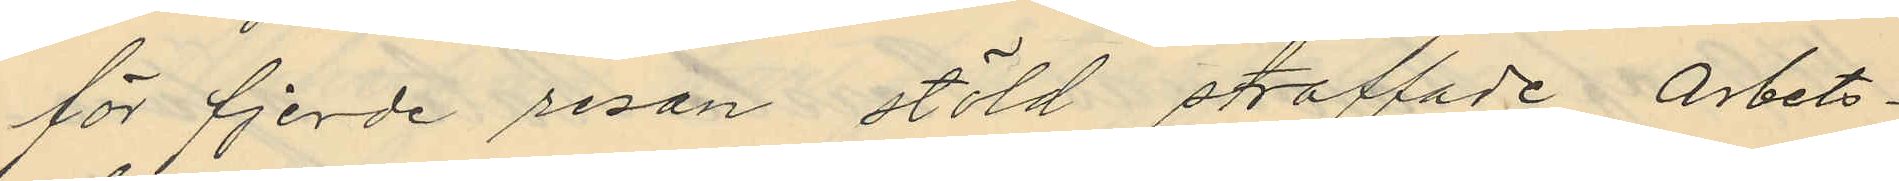för fjerde resan stöld straffade arbets¬
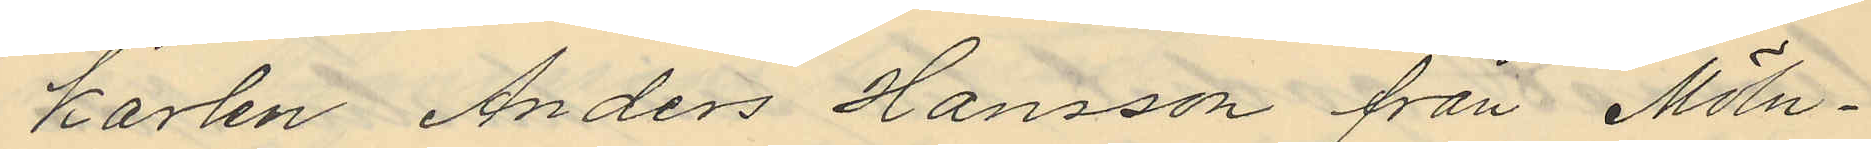karlen Anders Hansson från Möln¬
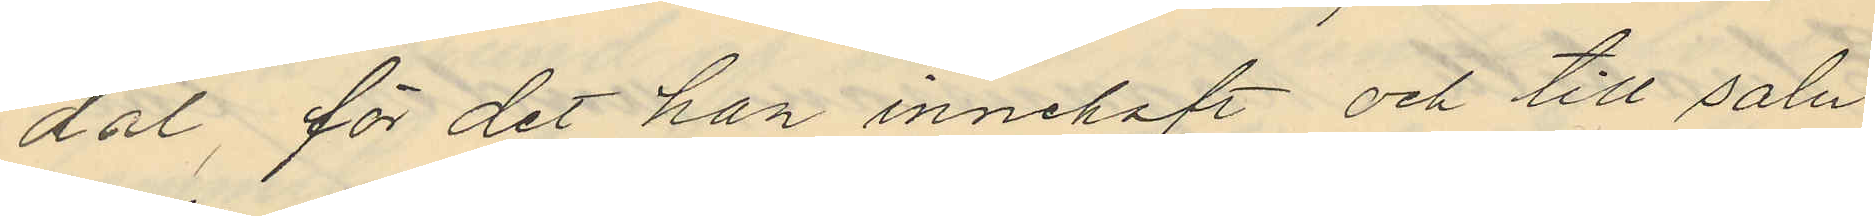dal, för det han innehaft och till salu
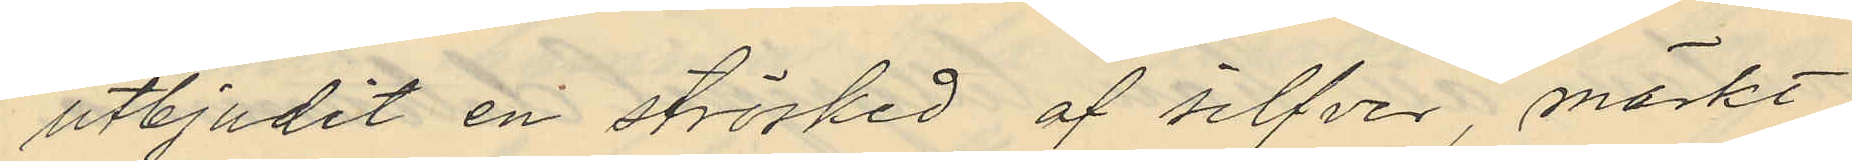utbjudit en strösked af silfver, märkt
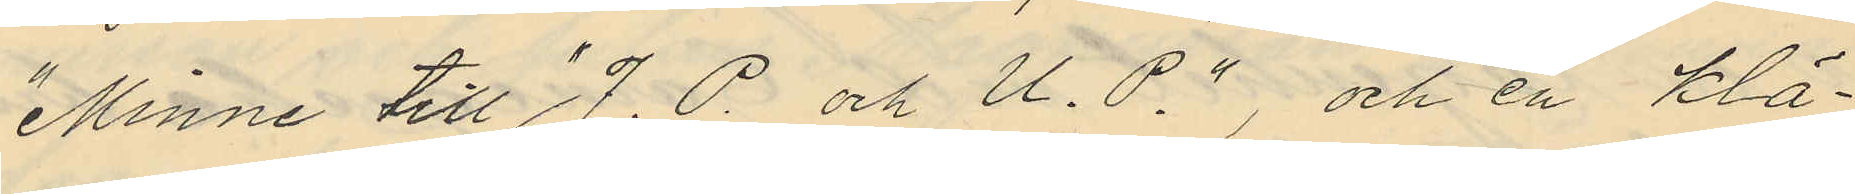"Minne till "J.P. och U.P.", och en klä¬
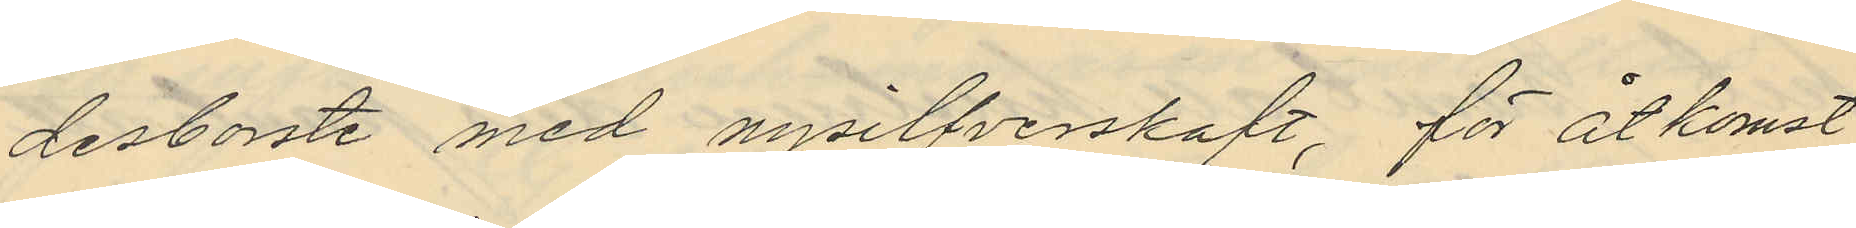desborste med nysilfverskaft, för åtkomst
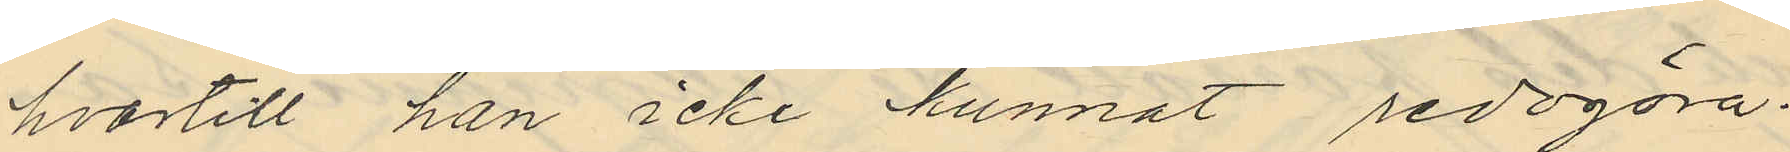hvartill han icke kunnat redogöra.
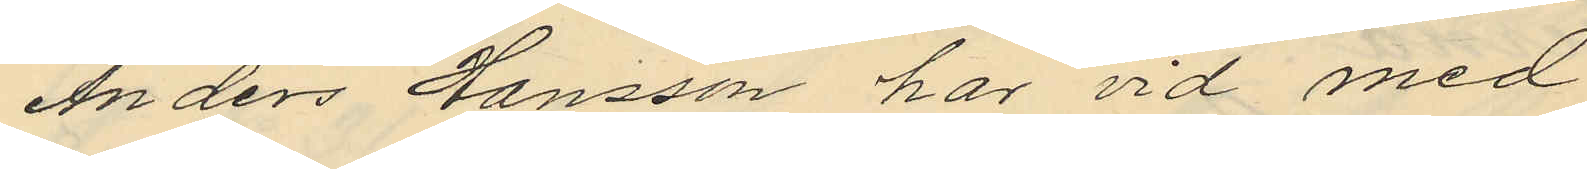Anders Hansson har vid med
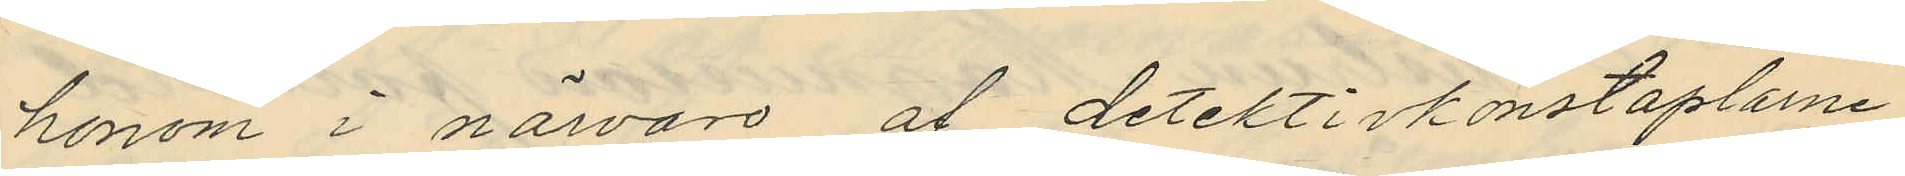honom i närvaro af detektivkonstaplarne
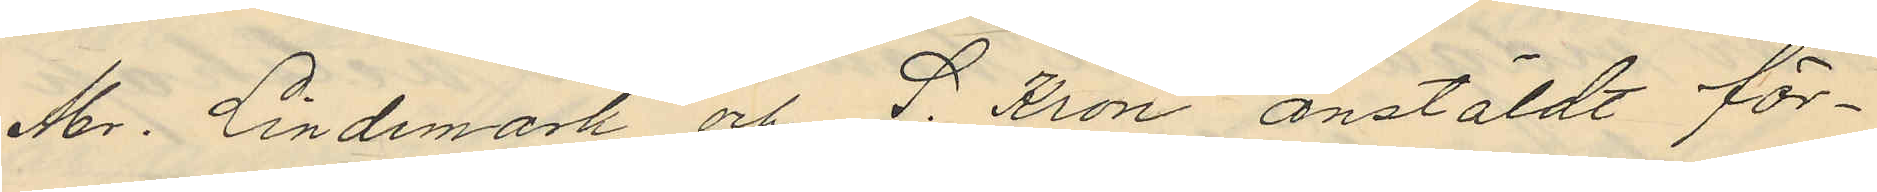Abr. Lindemark och I. Kron anstäldt för¬
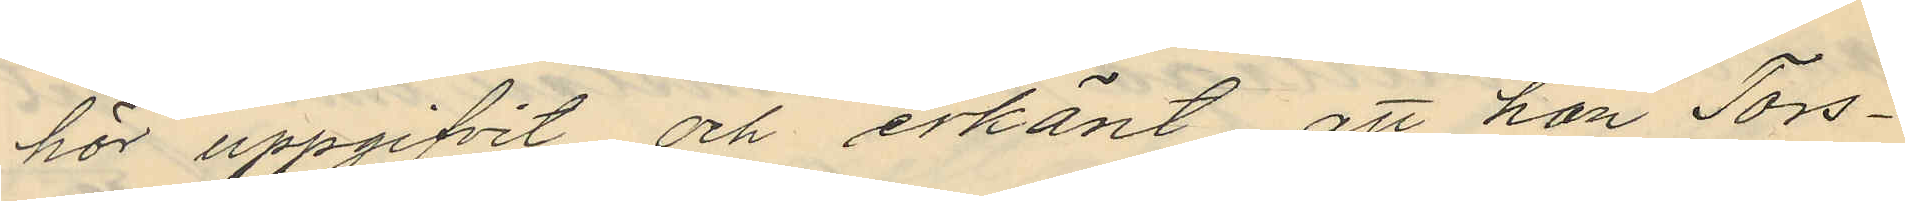hör uppgifvit och erkänt att han Tors¬
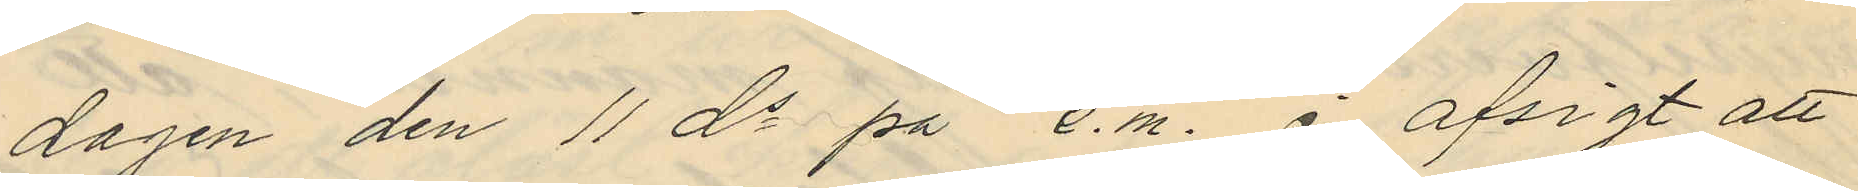dagen den 11 ds på e.m. i afsigt att
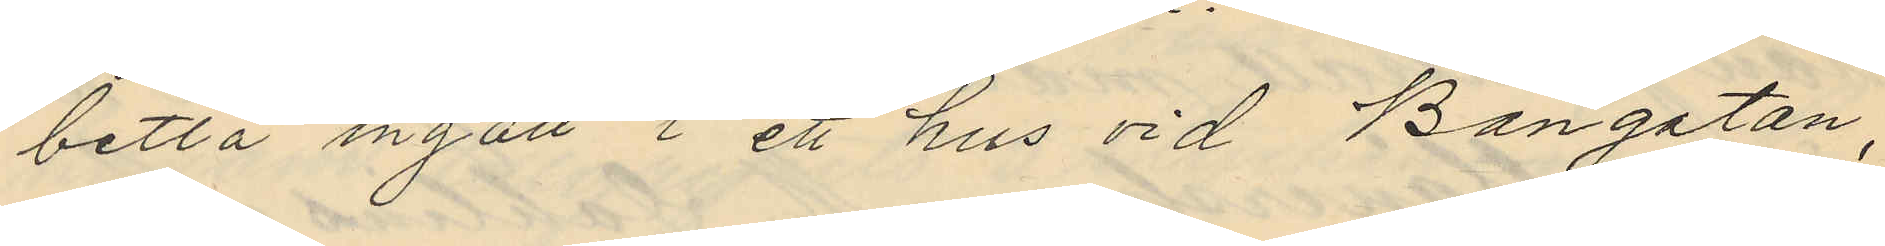betla ingått i ett hus vid Bangatan,
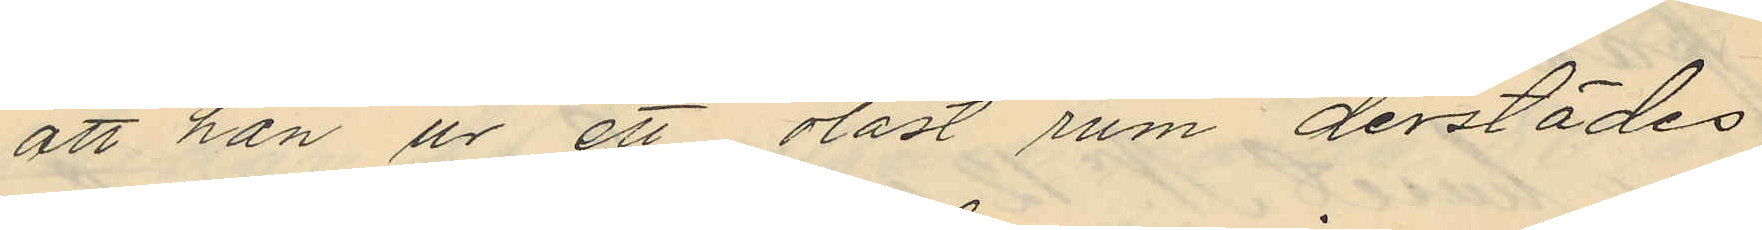att han ur ett olåst rum derstädes
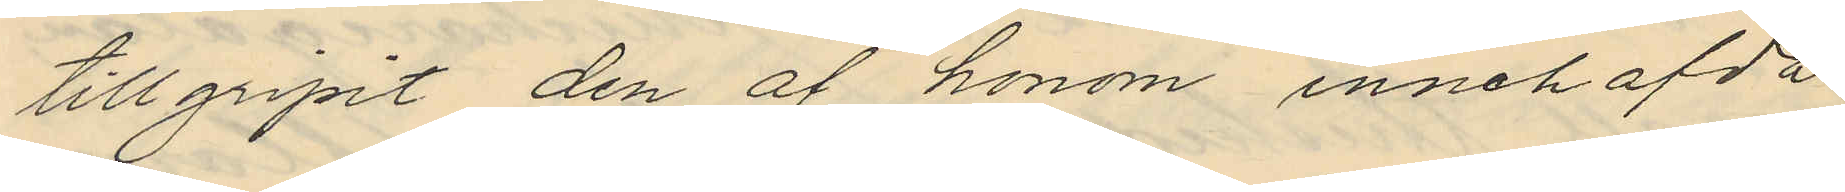tillgripit den af honom innehafda
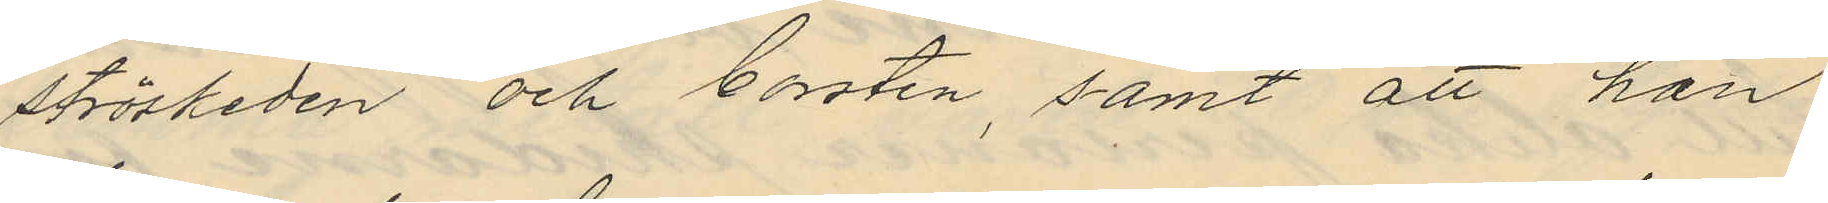ströskeden och borsten, samt att han
